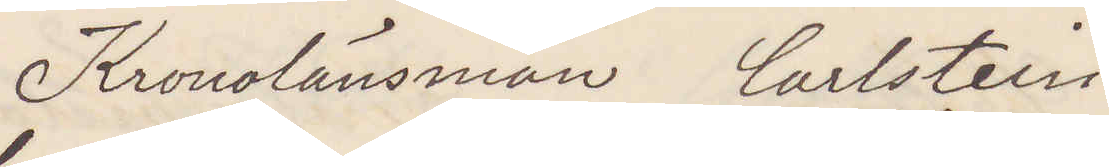Kronolänsman Carlstein
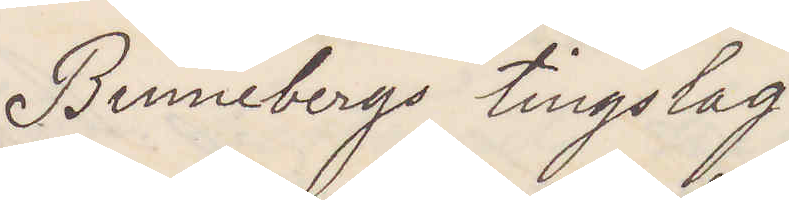Binnebergs tingslag.
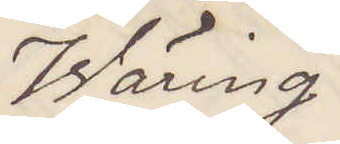Wäring.
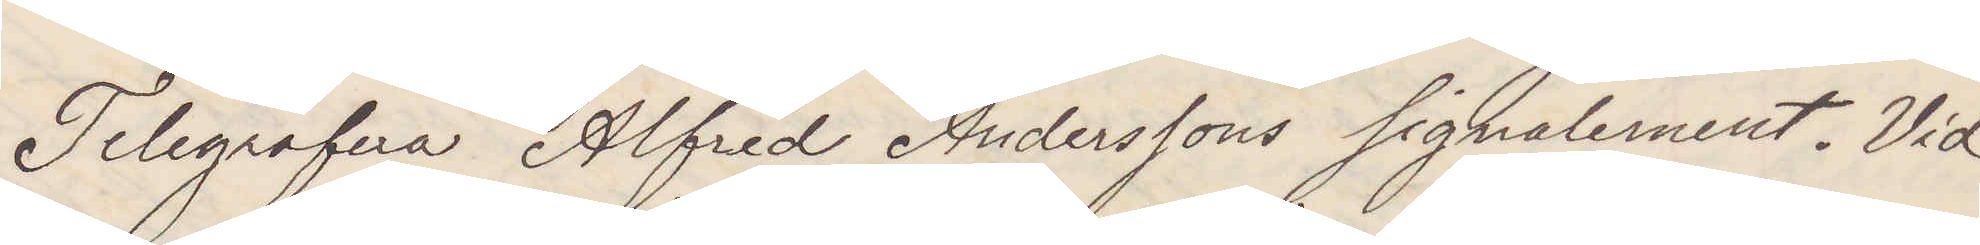Telegrafera Alfred Anderssons signalement. Vid
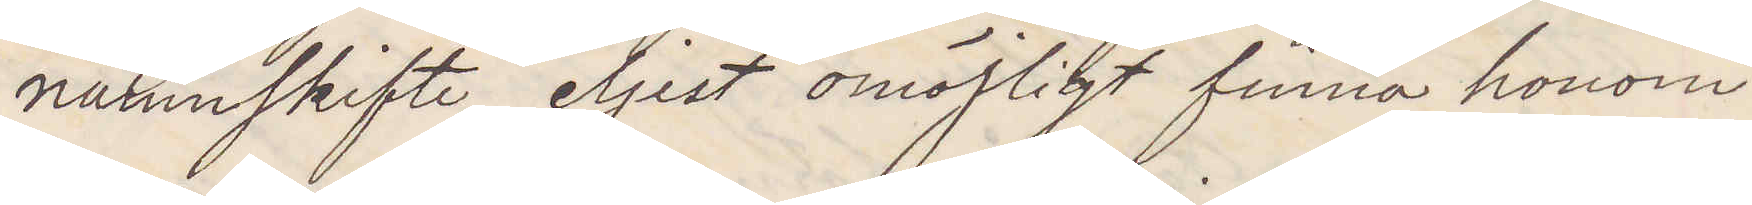namnskrift eljest omöjligt finna honom.
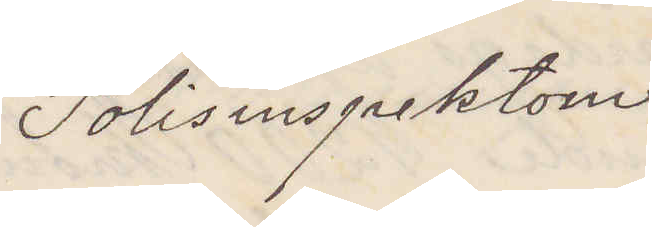Polisinspektorn
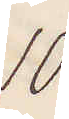10
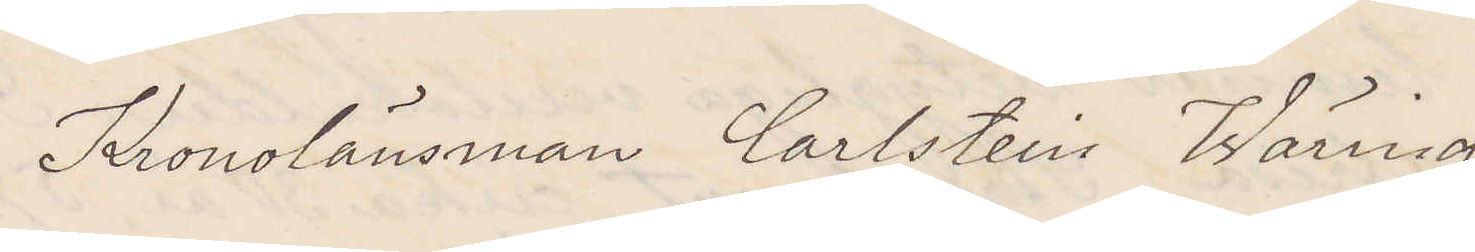Kronolänsman Carlstein Wäring
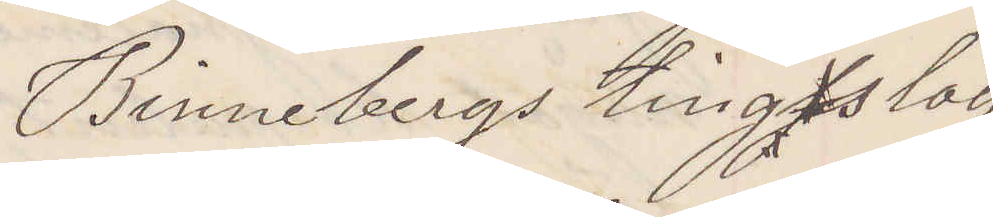Binnebergs tingsslag
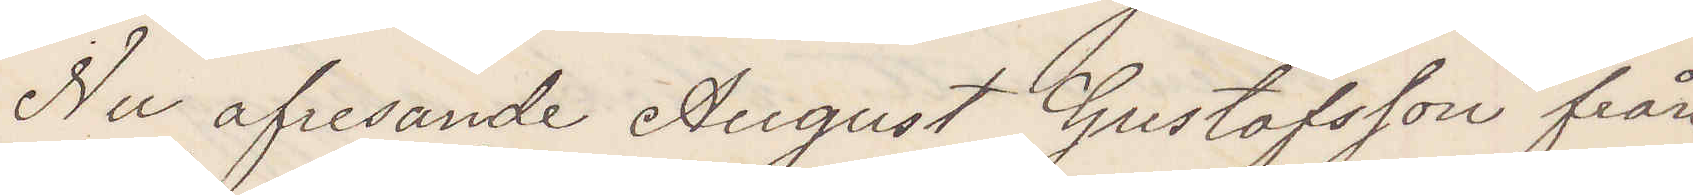Nu afresande August GUstafsson från
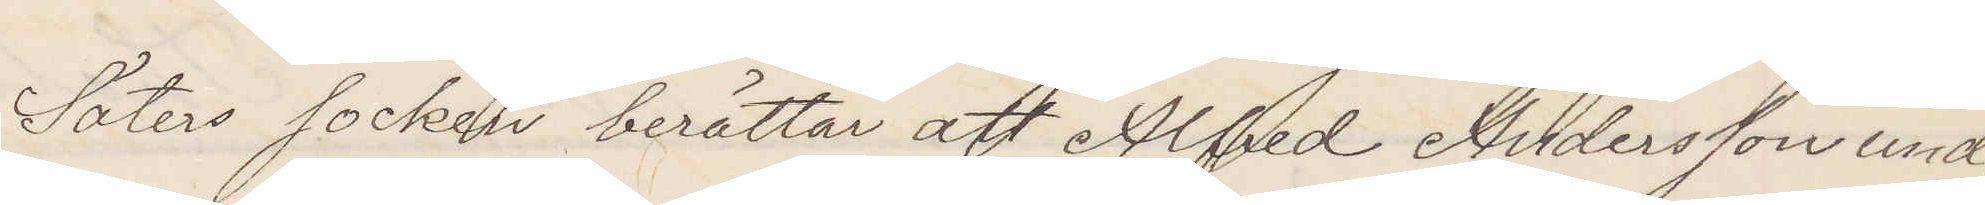Säters socken berättar att Alfred Andersson under
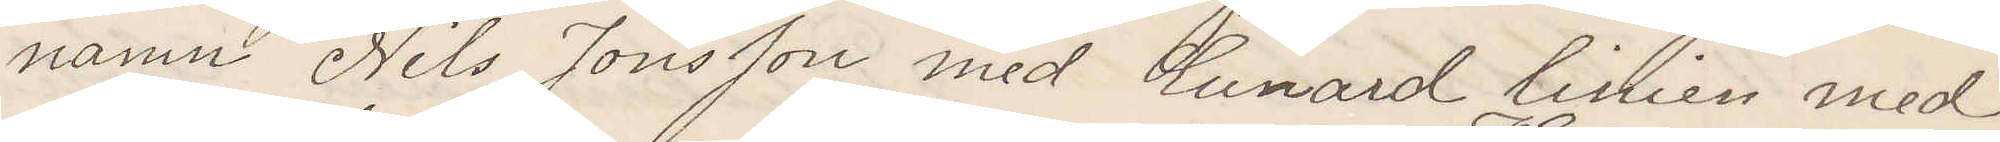namn Nils Jonsson med Cunard linien med
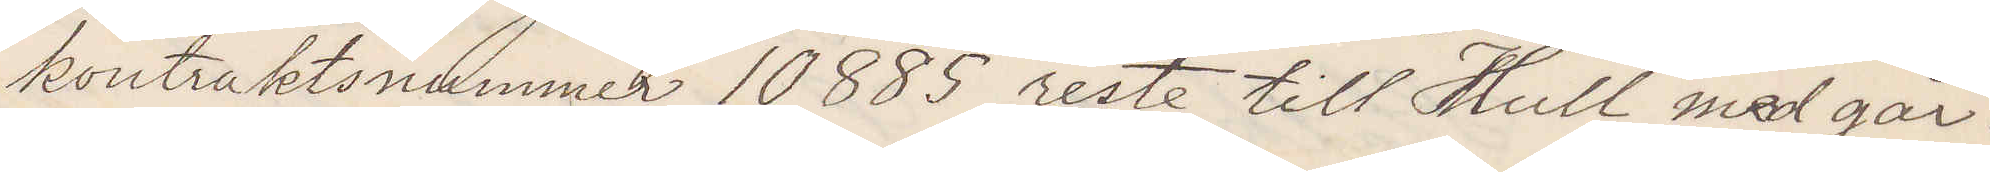kontraktsnummer 10885 reste till Hull med går¬
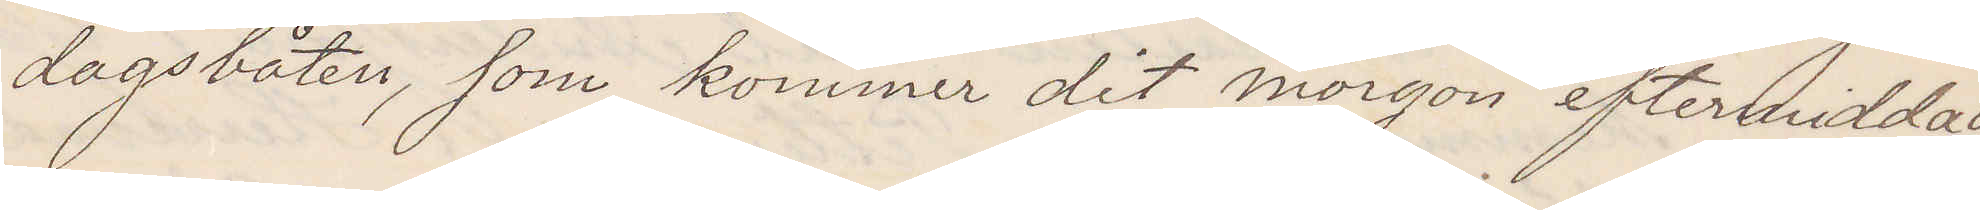dagsbåten som kommer dit morgon eftermiddag
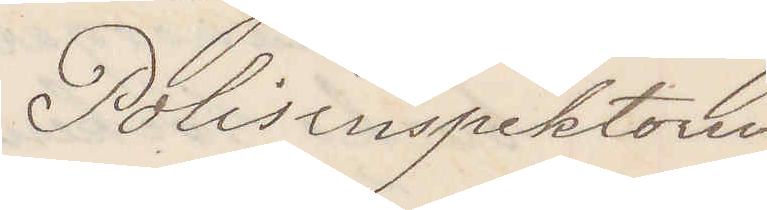Polisinspektorn
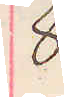8.
